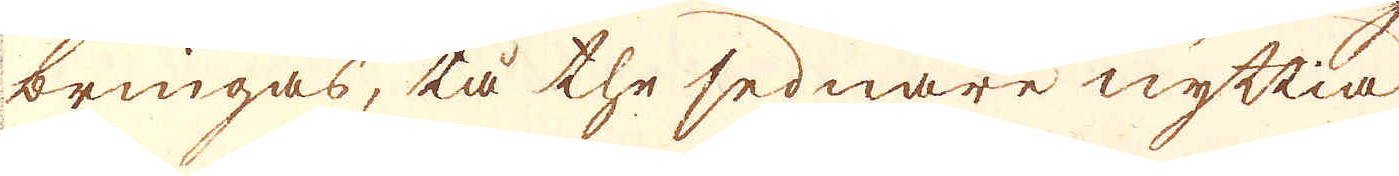bringas, tå the sednare nyttia
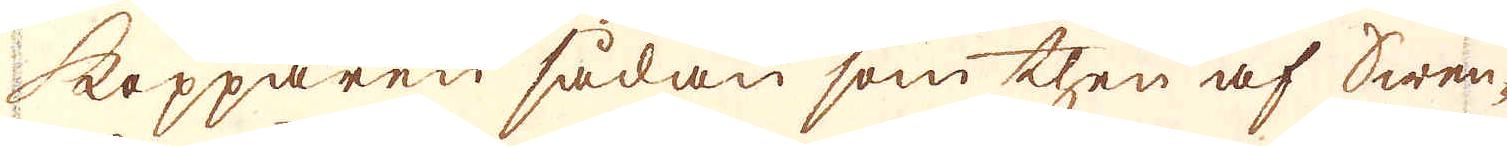kopparen sådan som then af Swen-
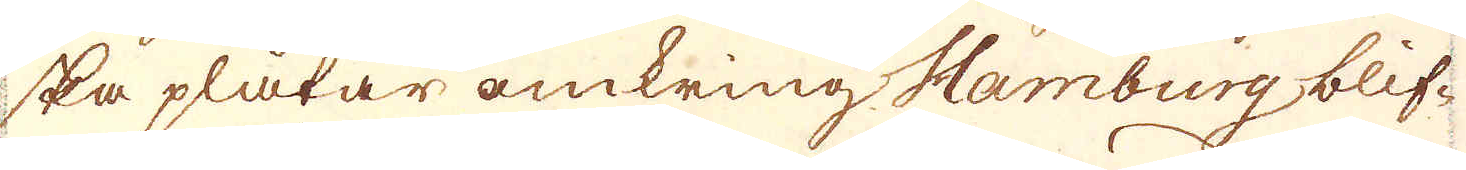ska plåtar omkring Hamburg blif-
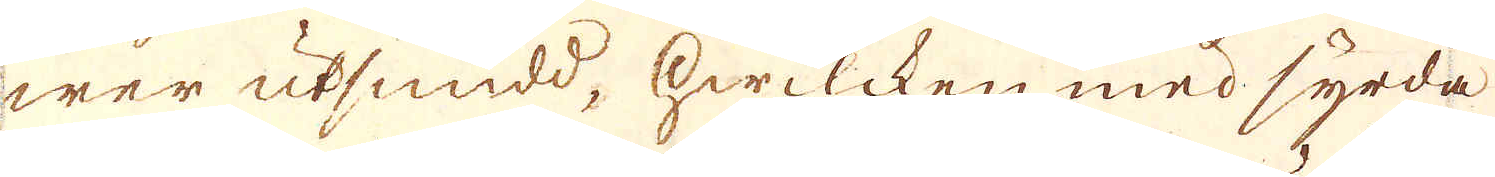wer utsmidd, hwilcken med syrda
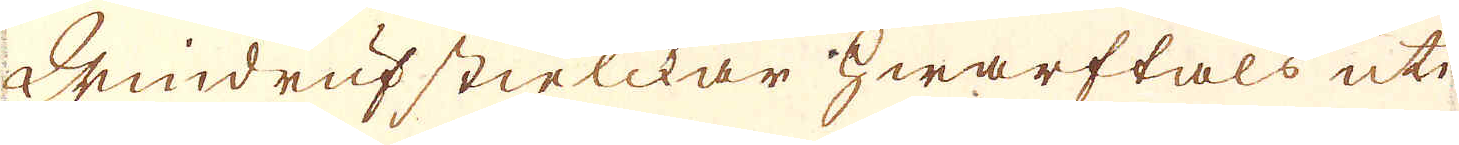Windrufstielckar hwarftals uti
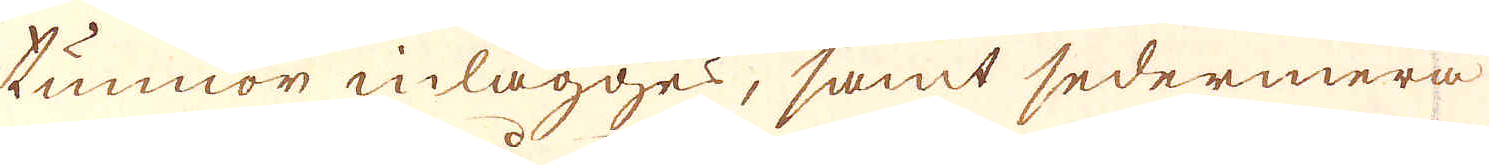tunnor inlägges, samt sedermera
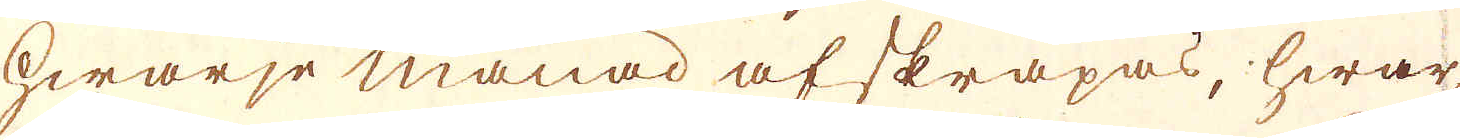hwarje månad afskrapas, hwar-
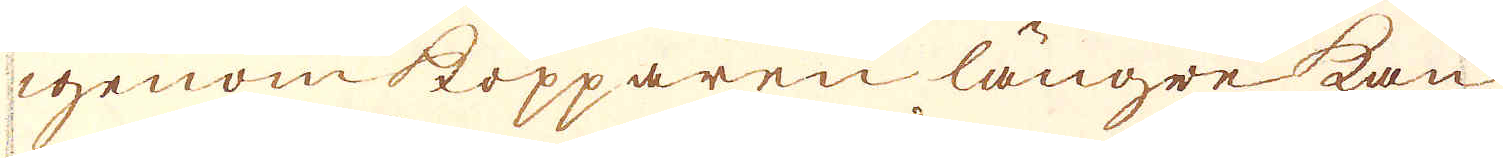igenom kopparen längre kan
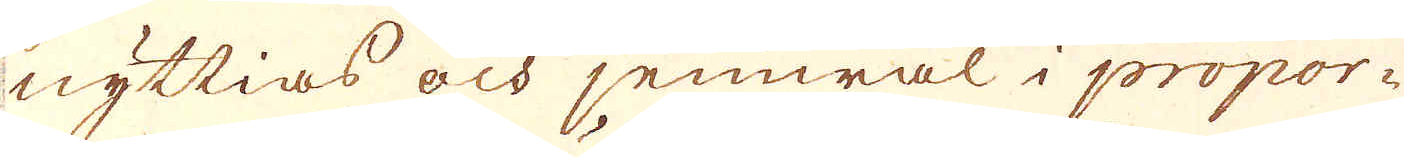nyttias och jemwäl i propor-
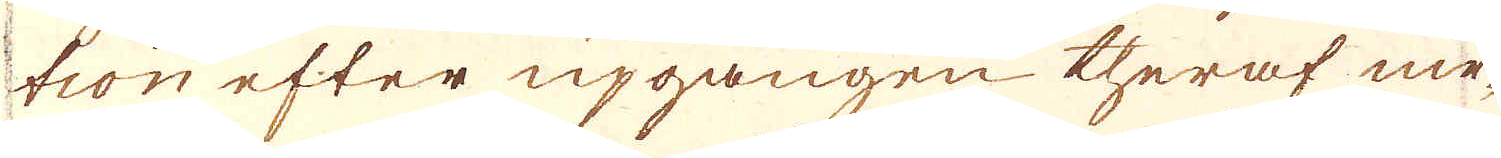tion efter upgången theraf me-
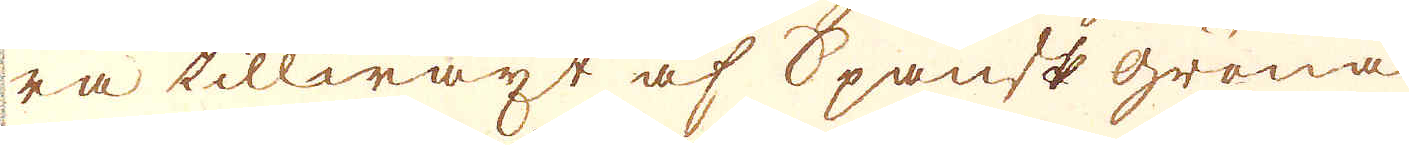ra tillwäxt af Spansk gröna
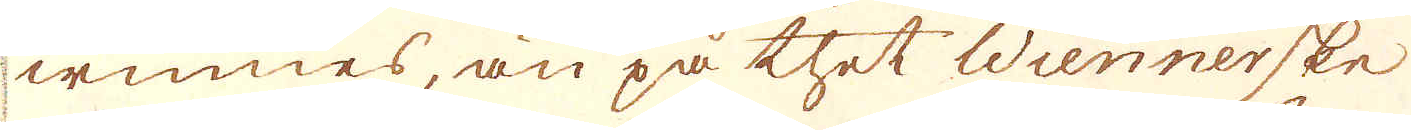winnes, än på thet Wiennerske
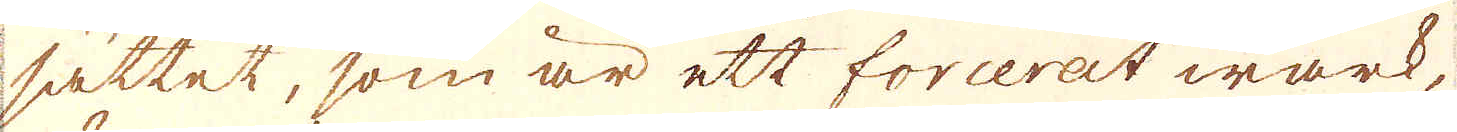sättet, som är ett förcerat wärk,
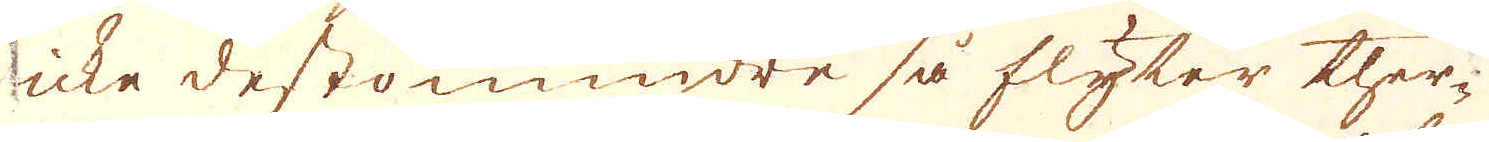icke destomindre så flyter ther-
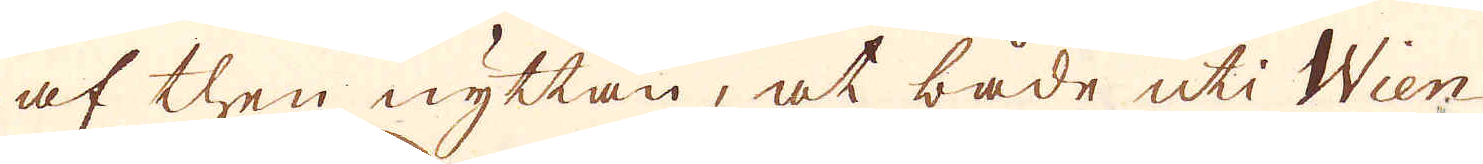af then nyttan, at både uti Wien
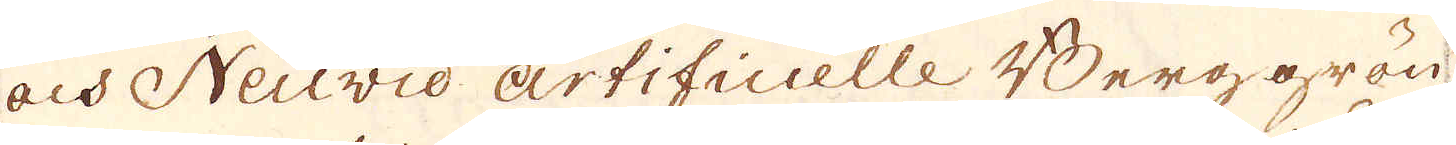och Neuvid: artificielle Berg grön
